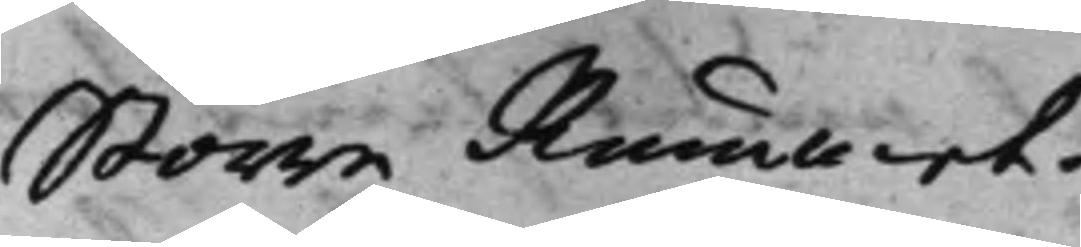Större Rummet.
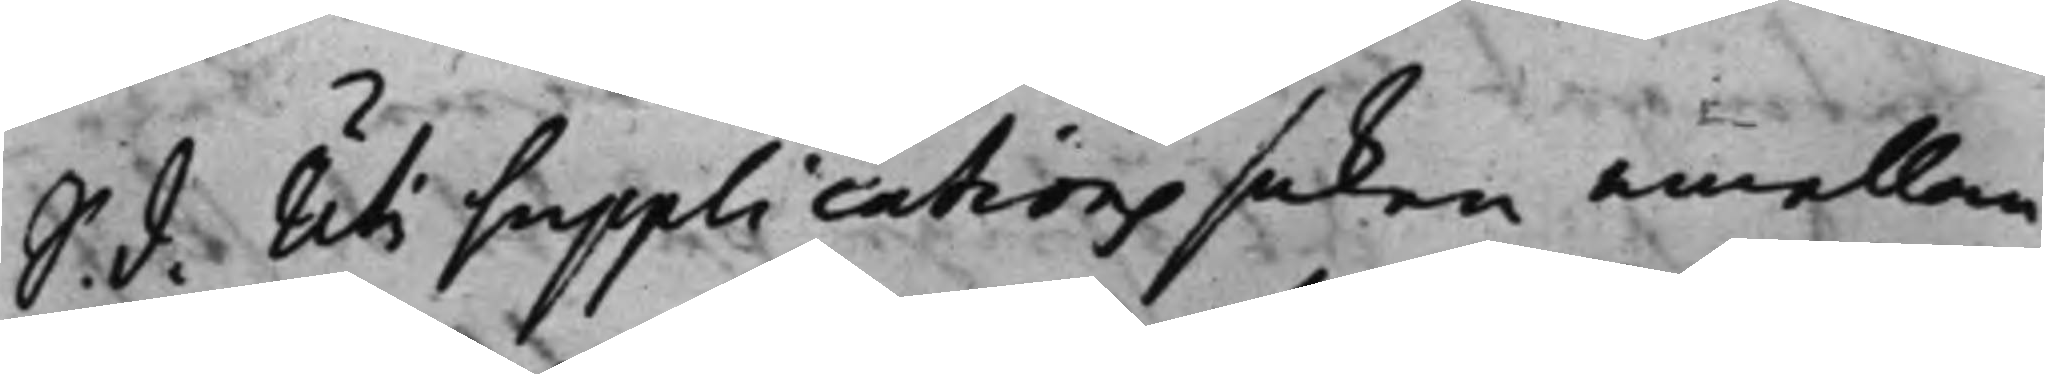S. d. Uti Supplications saken emellan
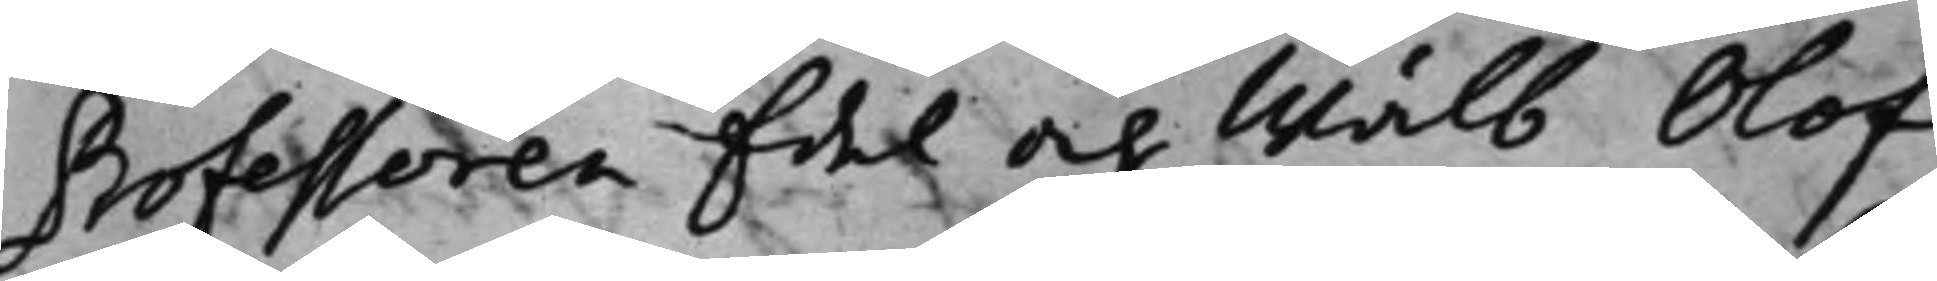Professoren Edel och Wälb. Olof
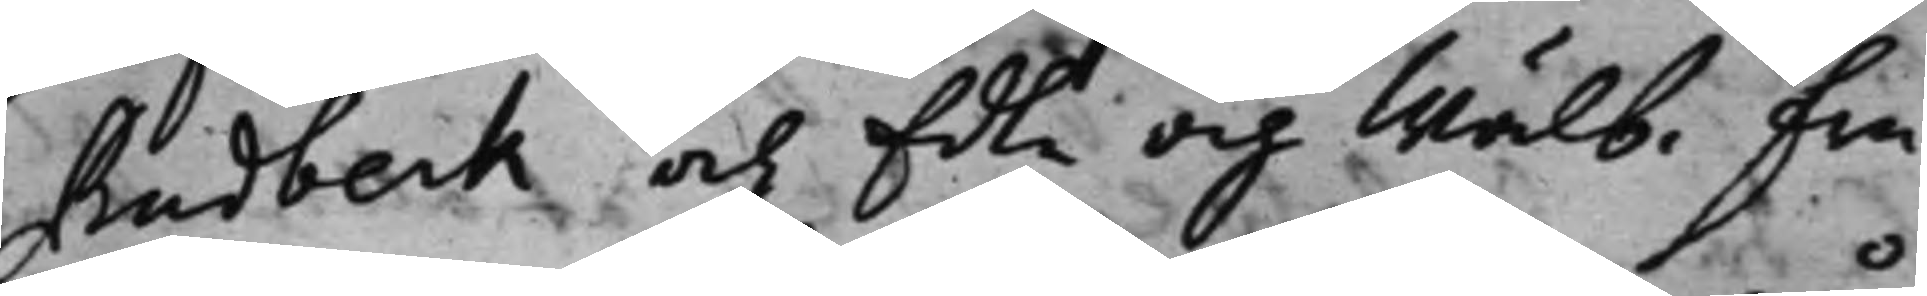Rudbeck och Edle och Wälb. fru
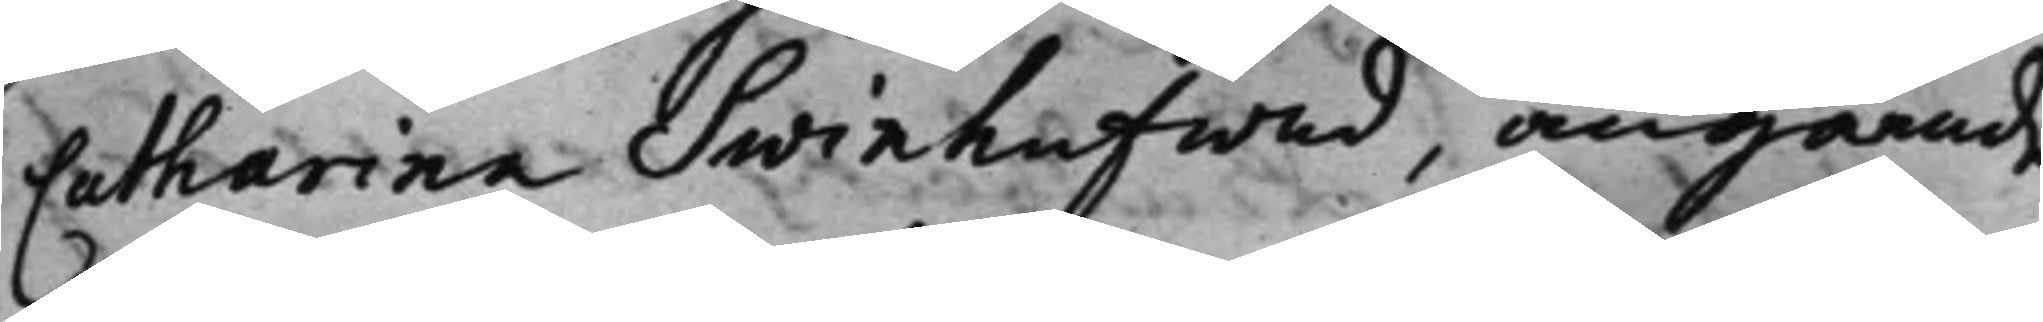Catharina Swinhufwud, angående
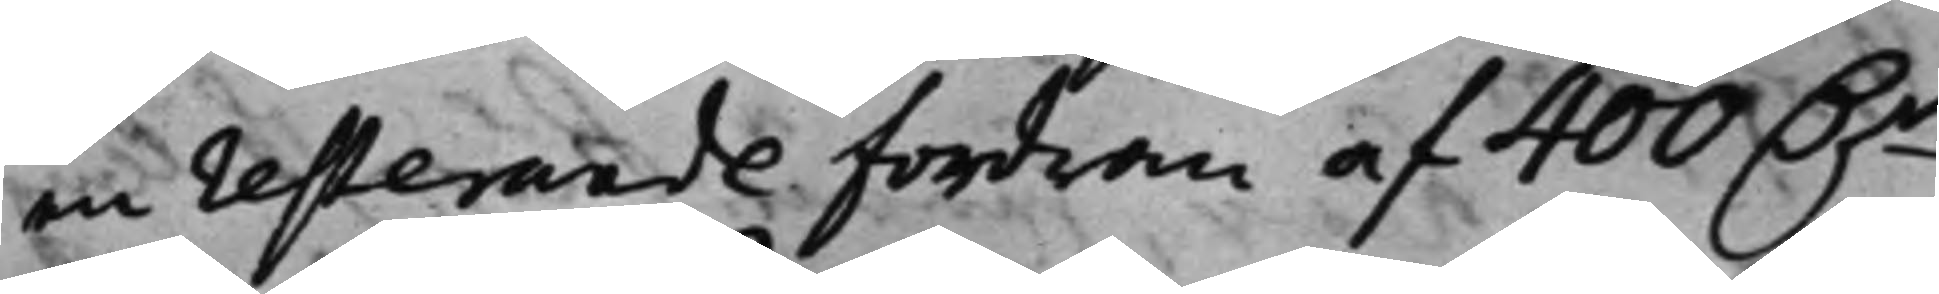en resterande fordran af 400 D.r
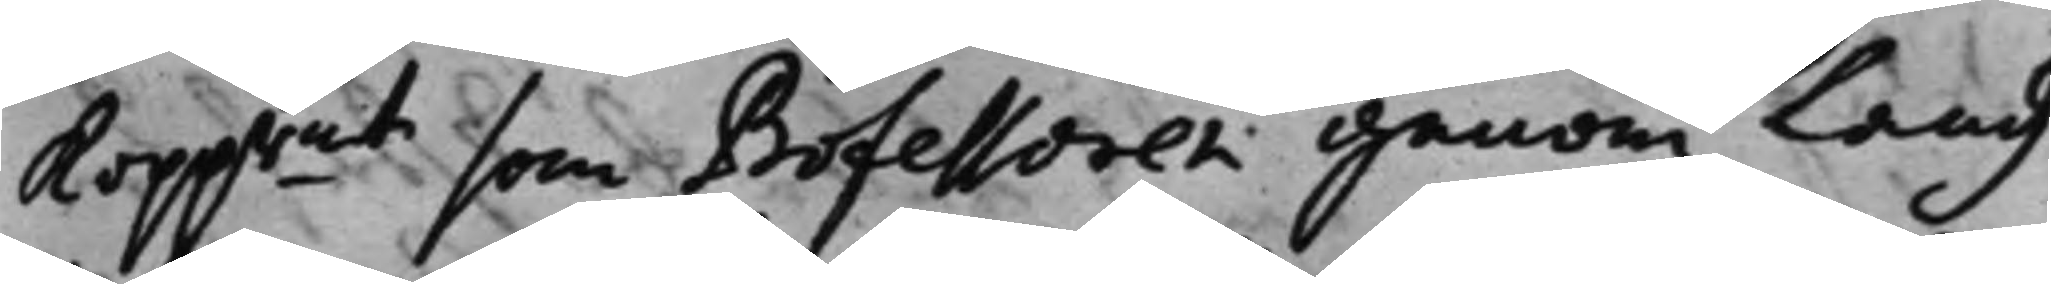Koppmt som Professoren genom Landz¬
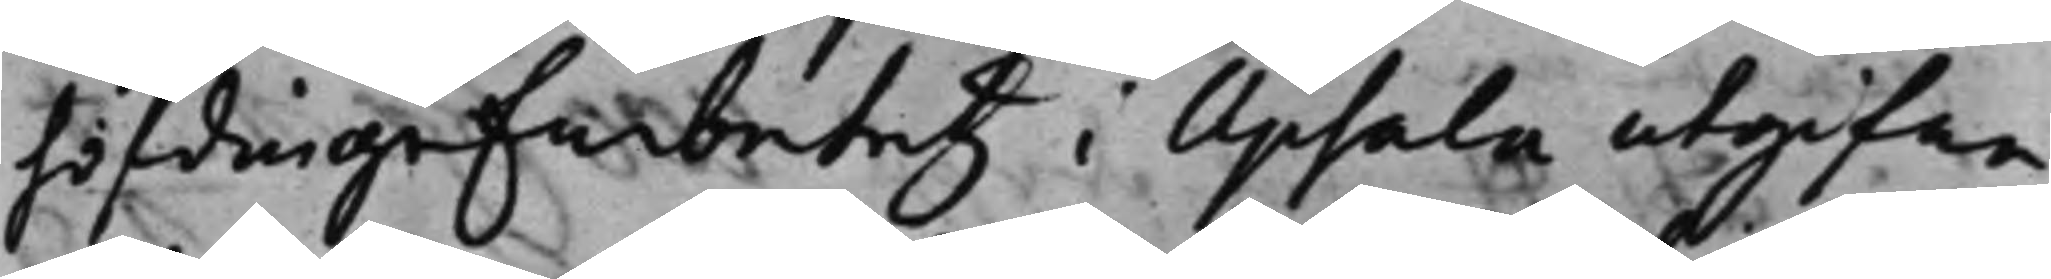höfdingeEmbetetz i Upsala utgifne
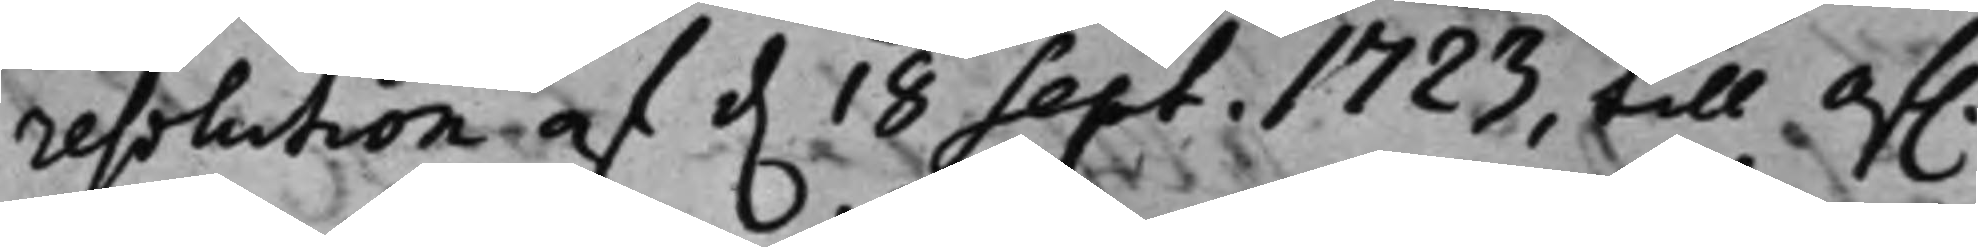resolution af d. 18 Sept. 1723, till af.
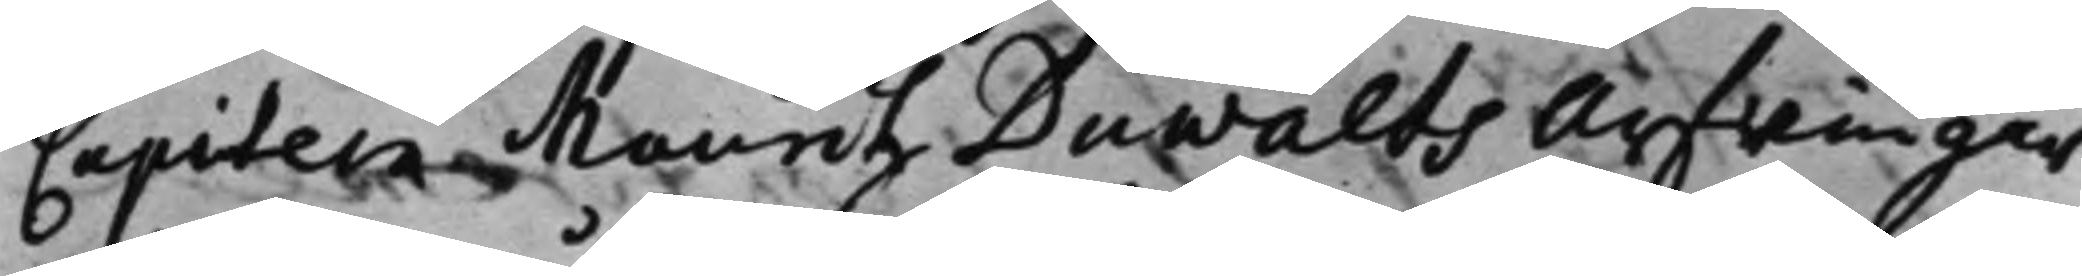Capitein Mauritz Duwalts Arfwingar
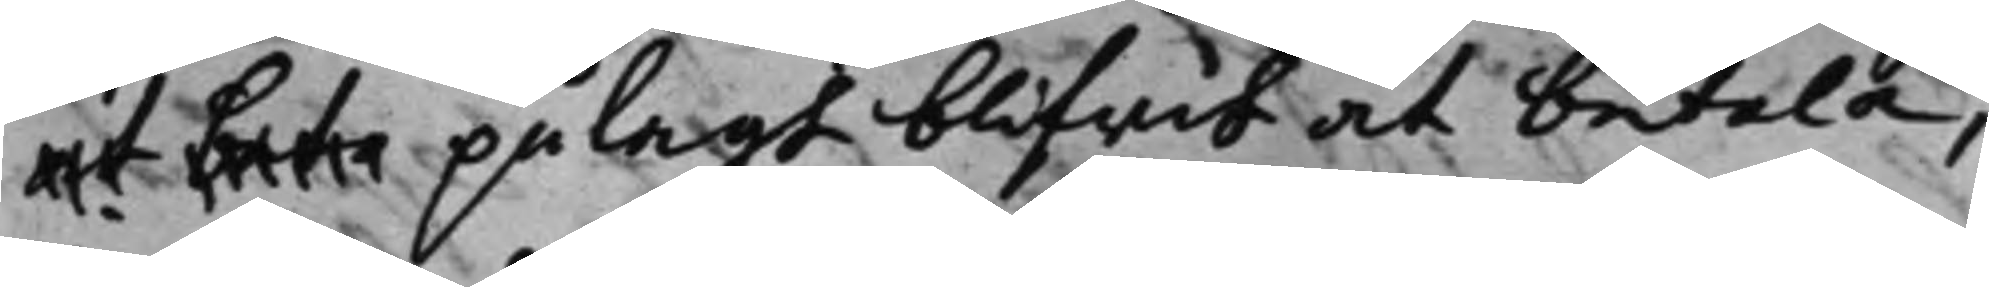at beta pålagt blifwit at betala;
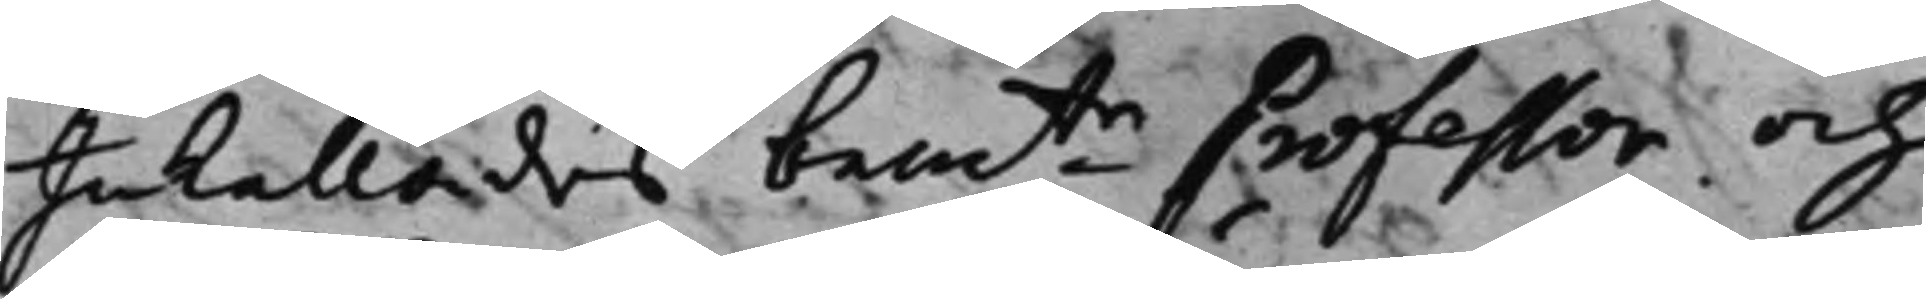Inkallades bemte Professor och
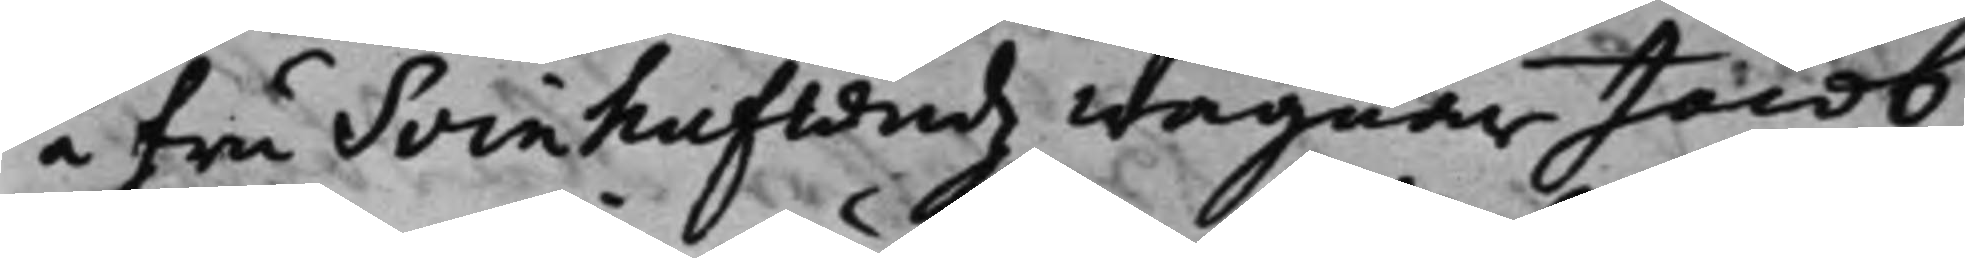å fru Svinhufwudz wägnar Jacob
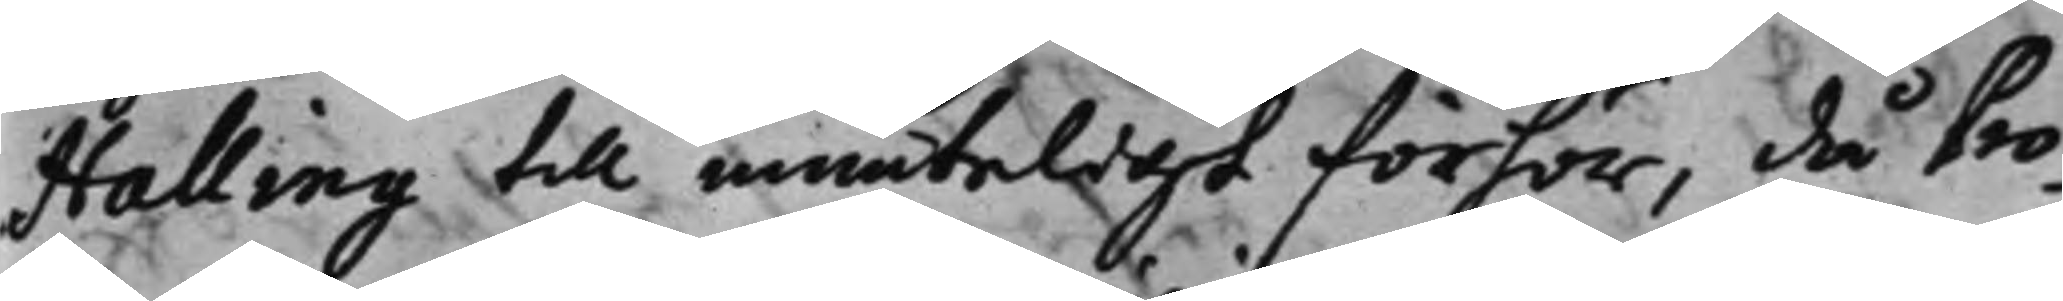Halling till munteligt förför, då Pro¬
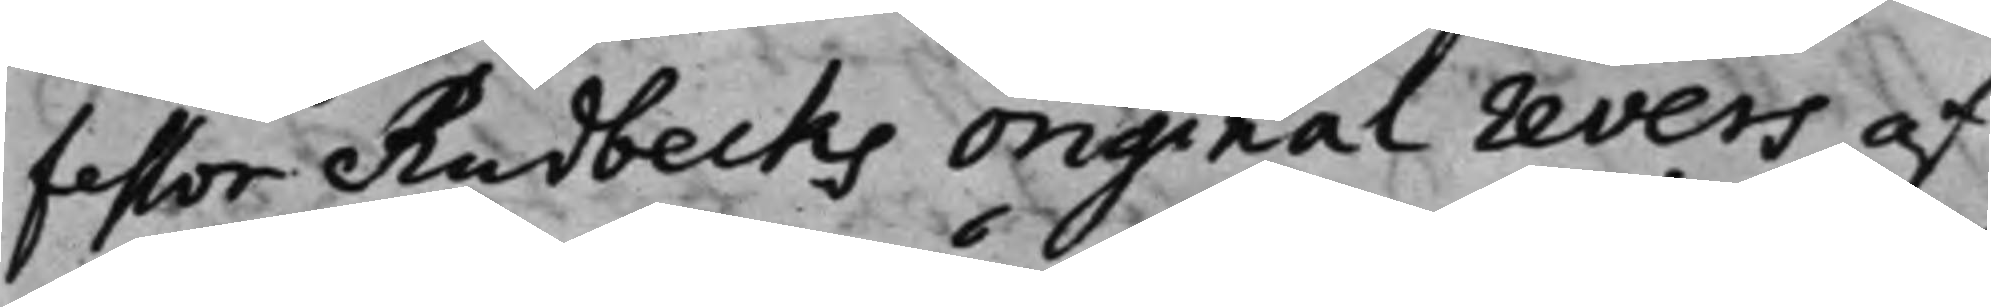fessor Rudbecks original revers af
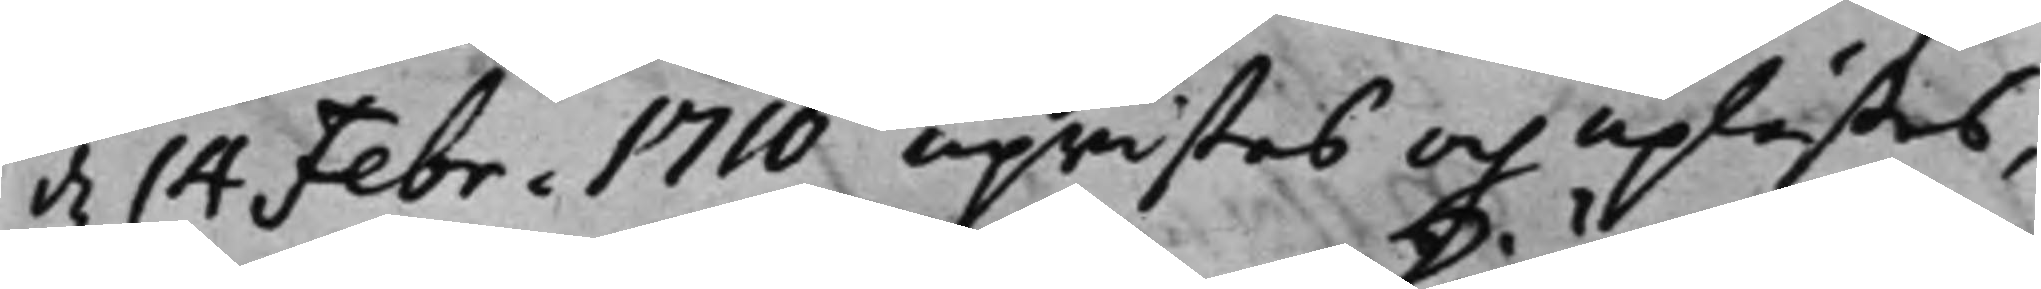d. 14 Febr. 1710 upwistes och uplästes,
